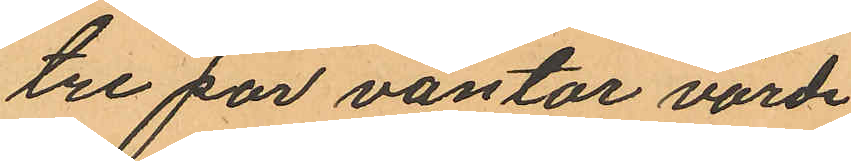tre par vantar värde
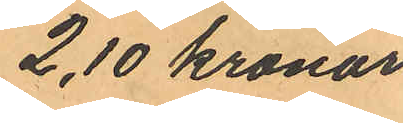2,10 kronor
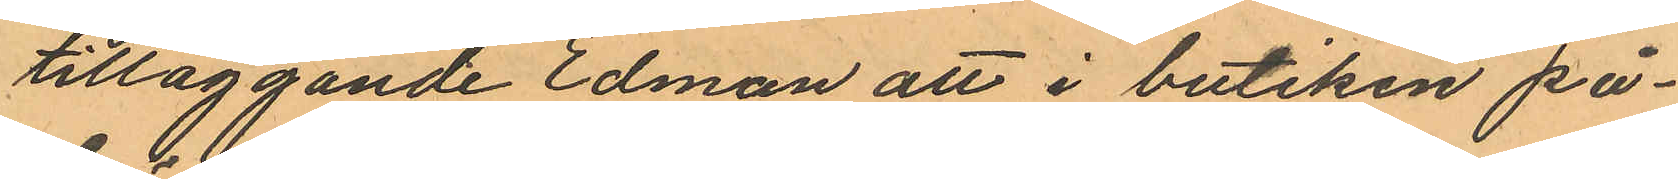tilläggande Edman att i butiken på¬
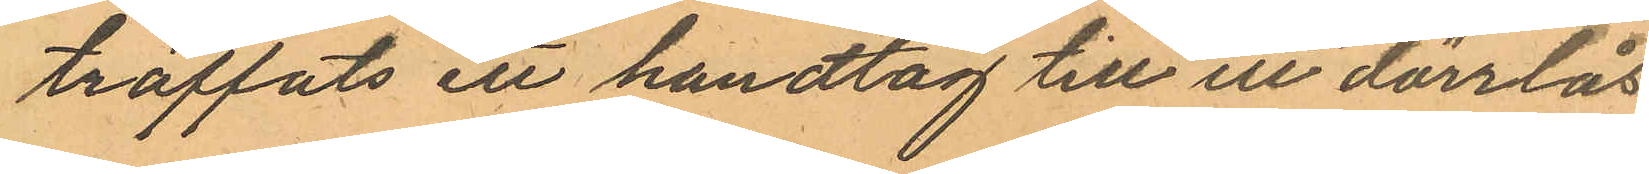träffats ett handtag till ett dörrlås
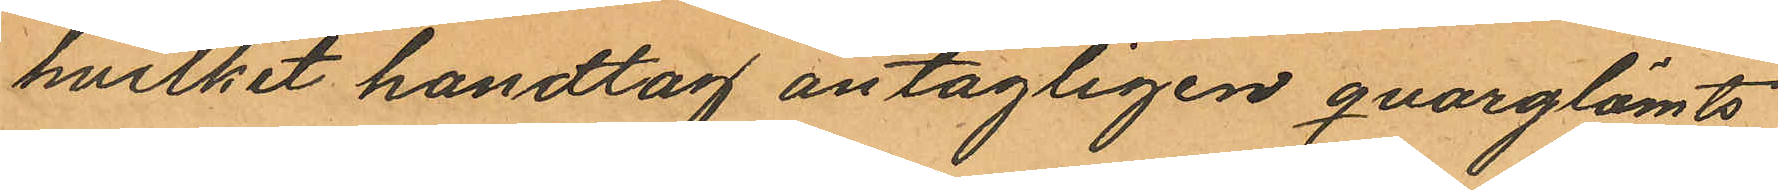hvilket handtag antagligen qvarglömts
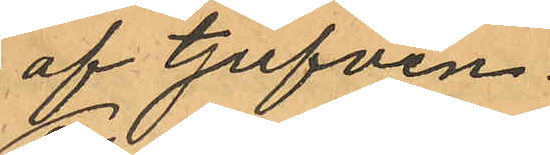af tjufven.
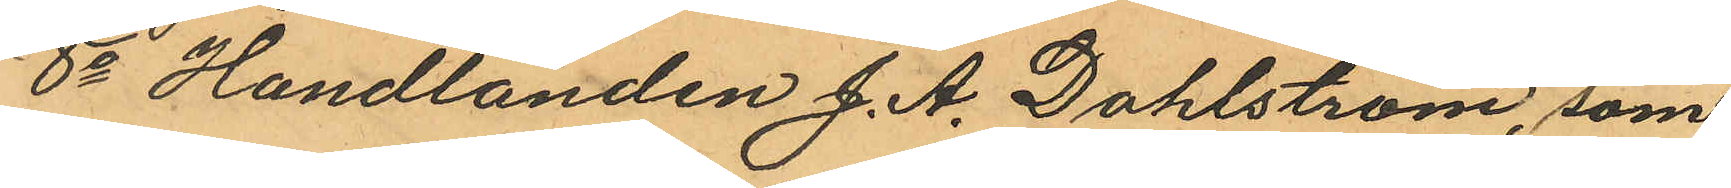8o Handlanden J. A. Dahlström, som
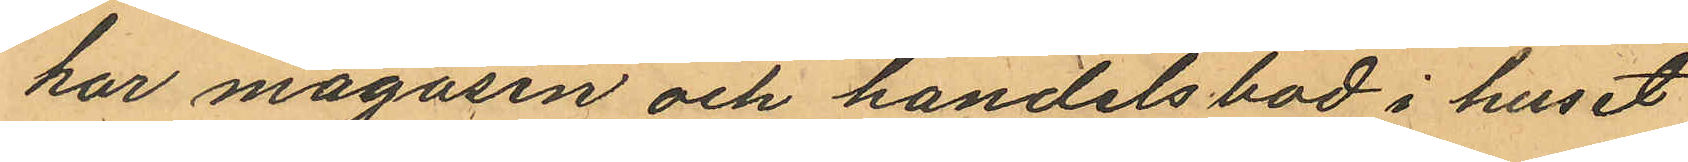har magasin och handelsbod i huset
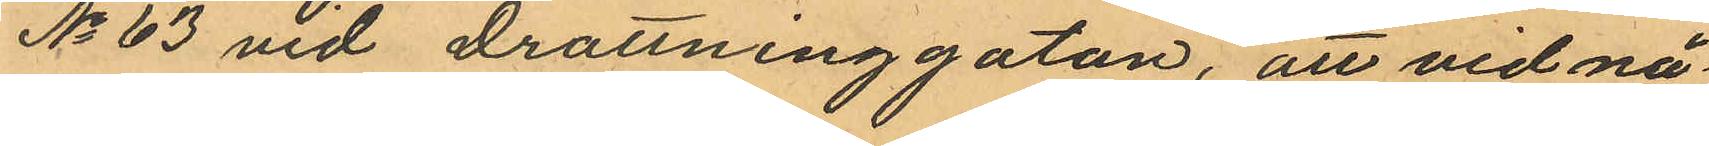No 63 vid Drottninggatan, att vid nå¬
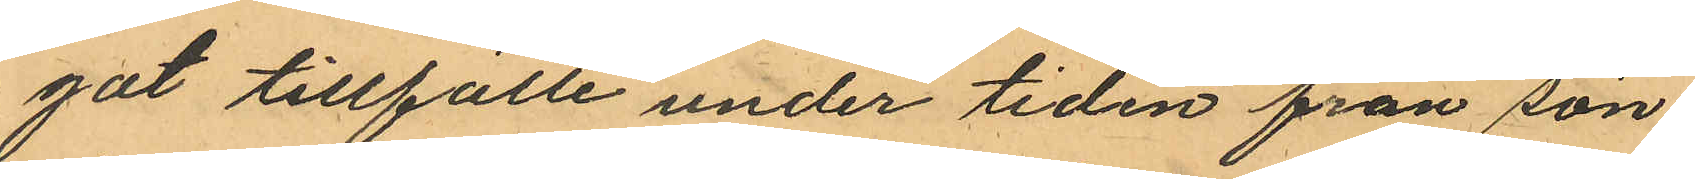got tillfälle under tiden från sön¬
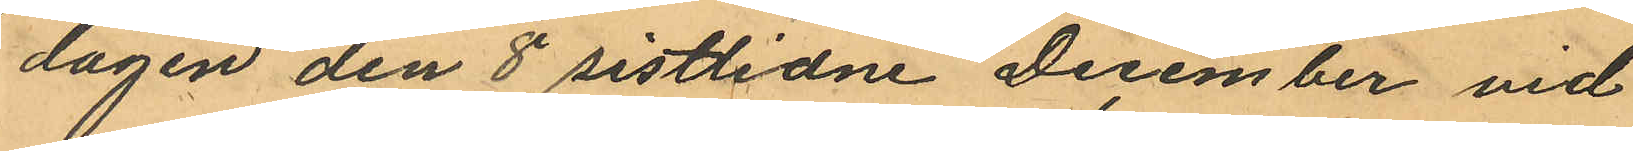dagen den 8 sistlidne December vid
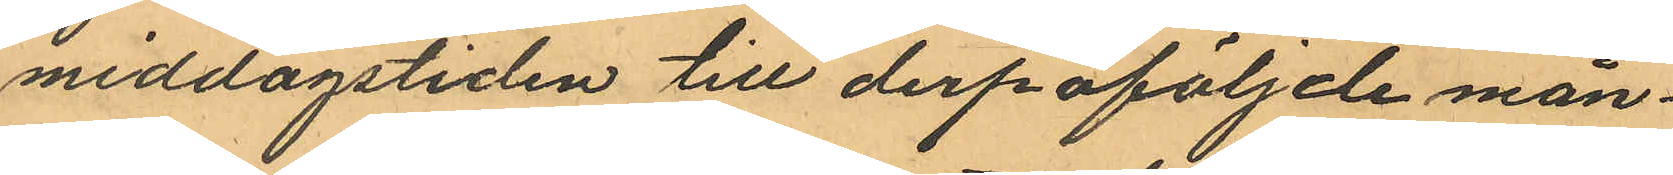middagstiden till derpåföljde mån¬
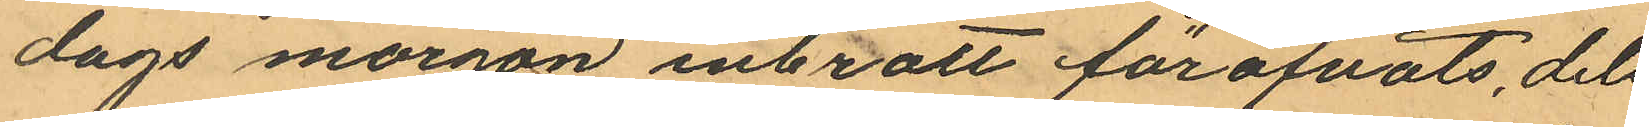dags morgon inbrott föröfvats, dels
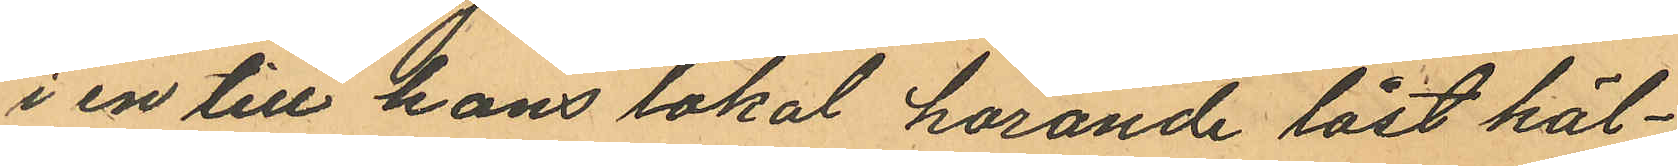i en till hans lokal hörande låst käl¬
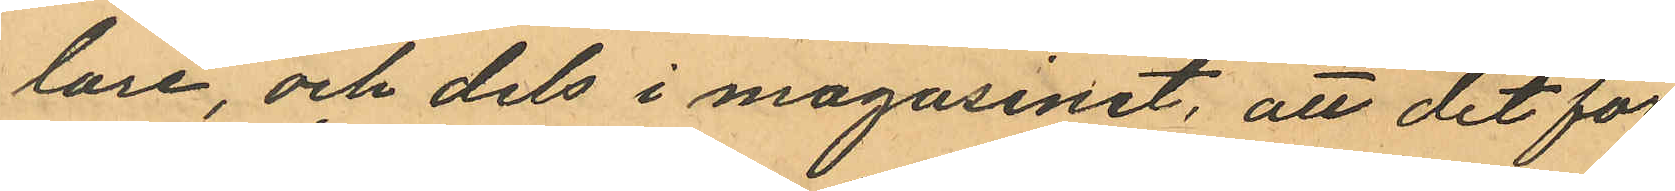lare, och dels i magasinet, att det för
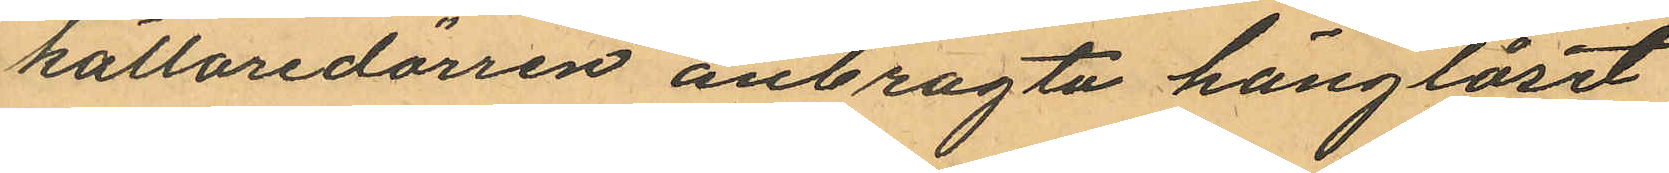källaredörren anbragta hänglåset
